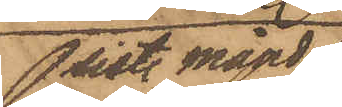sist. måndag
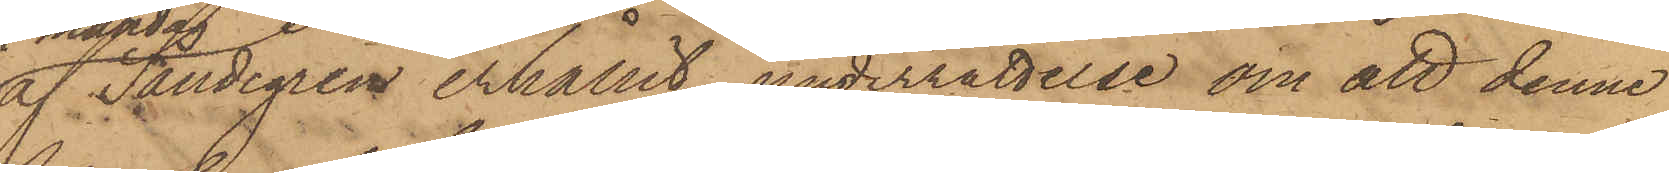af Sandegren erhållit underrättelse om att denne
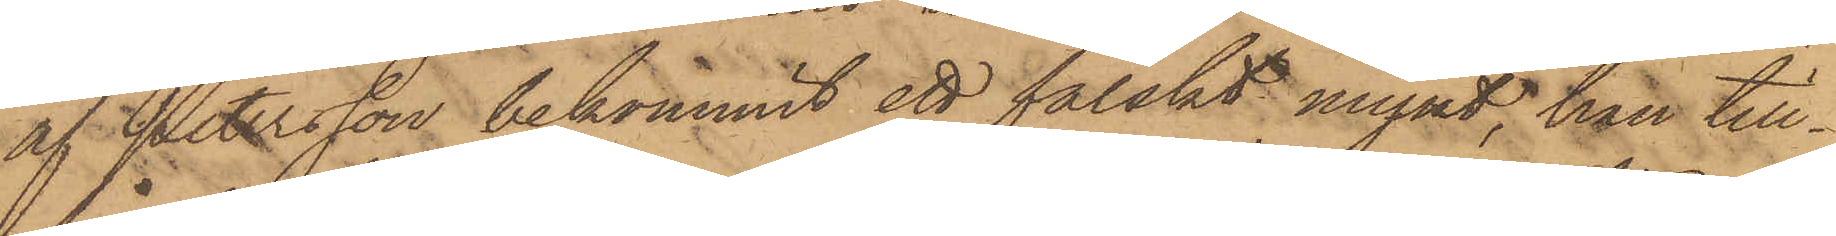af Petersson bekommit ett falskt mynt, han till¬
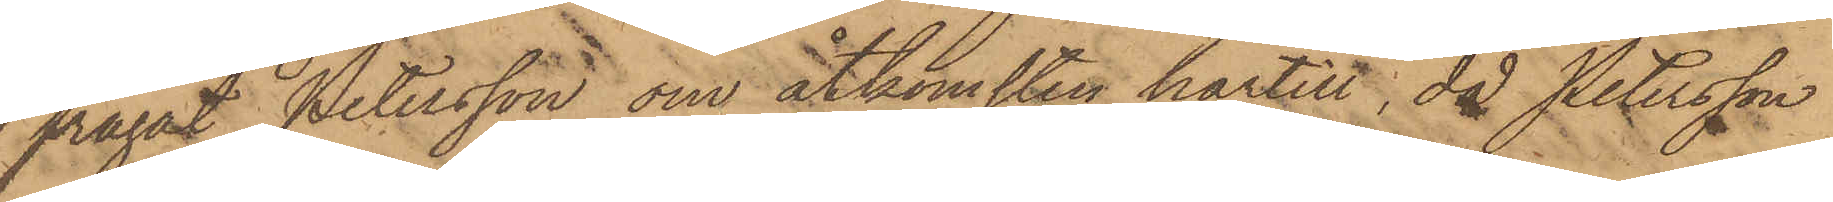frågat Petersson om åtkomsten härtill, då Petersson
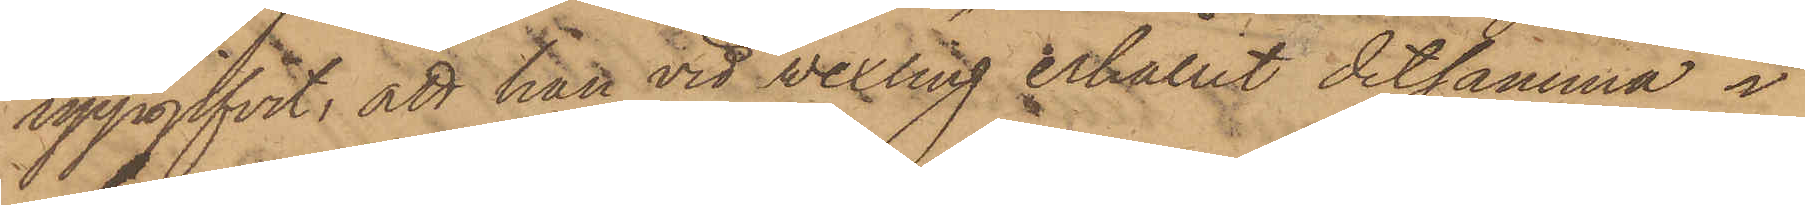uppgifvit, att han vid vexling erhållit detsamma i
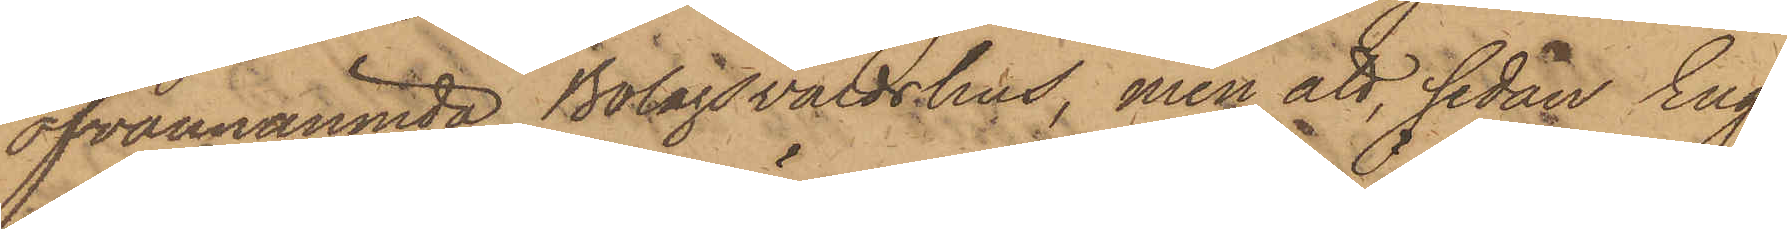ofvannämnda Bolagsvärdshus, men att sedan Eng¬
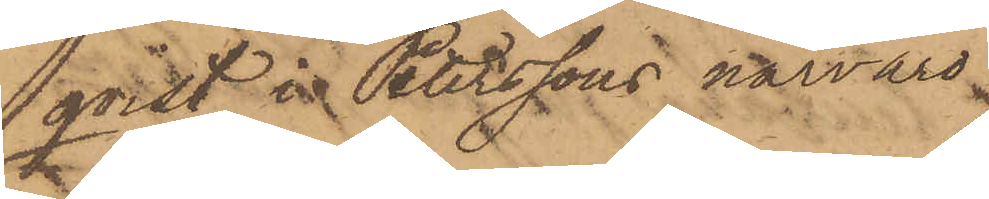qvist i Peterssons närvaro
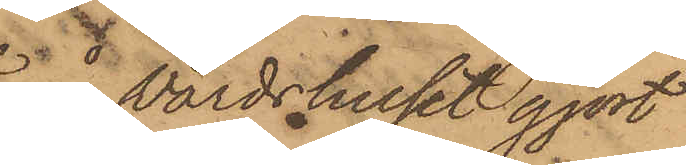å Värdshuset gjort
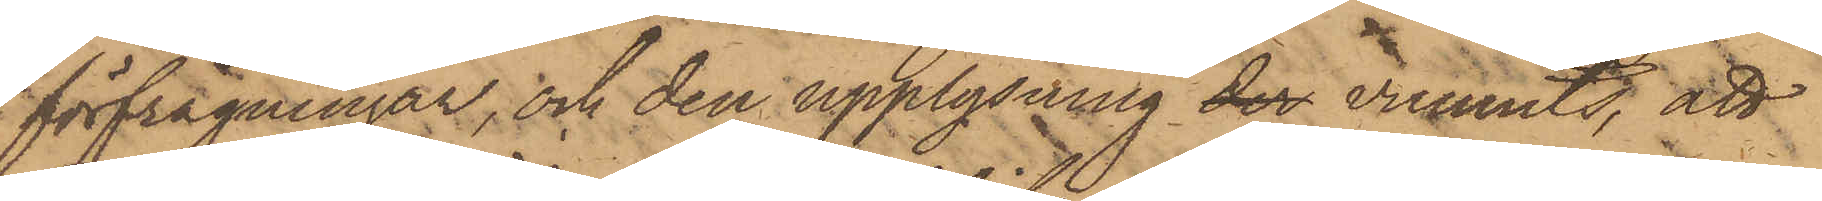förfrågningar, och den upplysning der vunnits, att
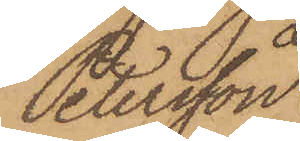Petersson
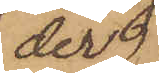der
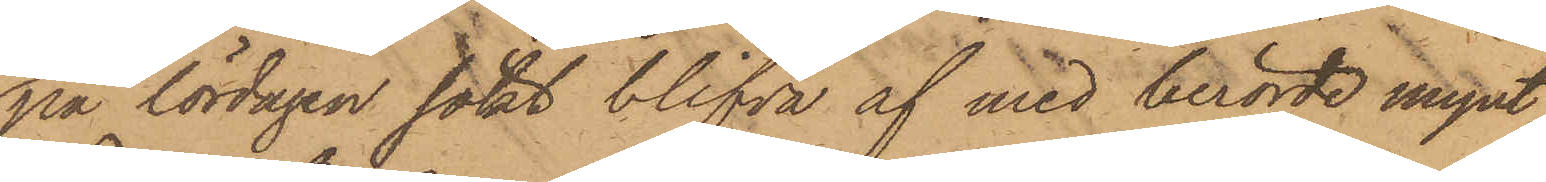på lördagen sökt blifva af med berörde mynt,
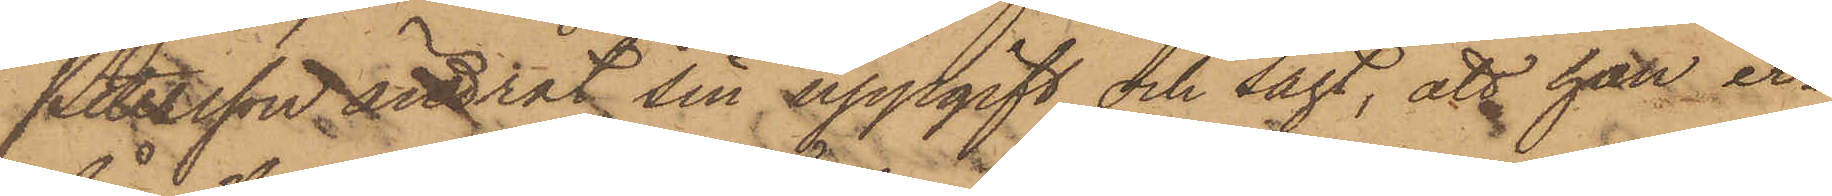Petersson ändrat sin uppgift och sagt, att han er¬
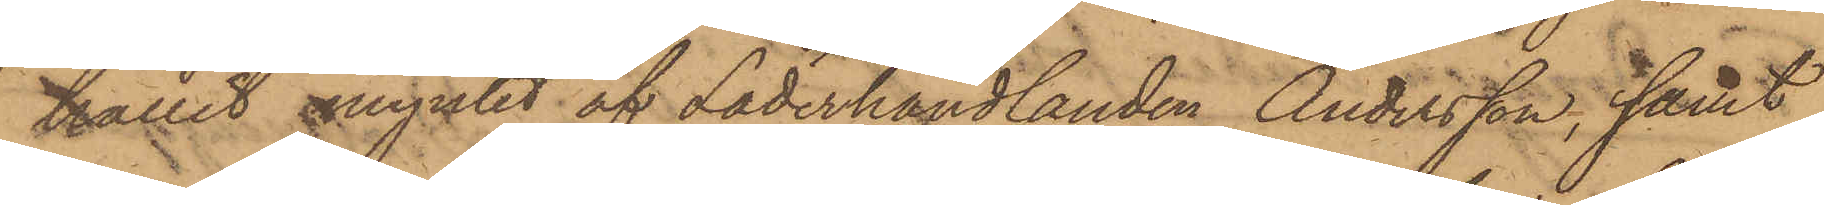hållit myntet af Läderhandlanden Andersson, samt
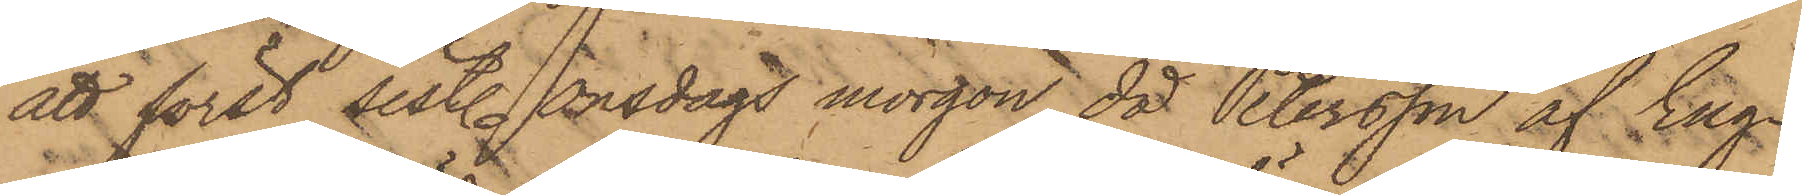att först sistl. onsdags morgon, då Petersson af Eng¬
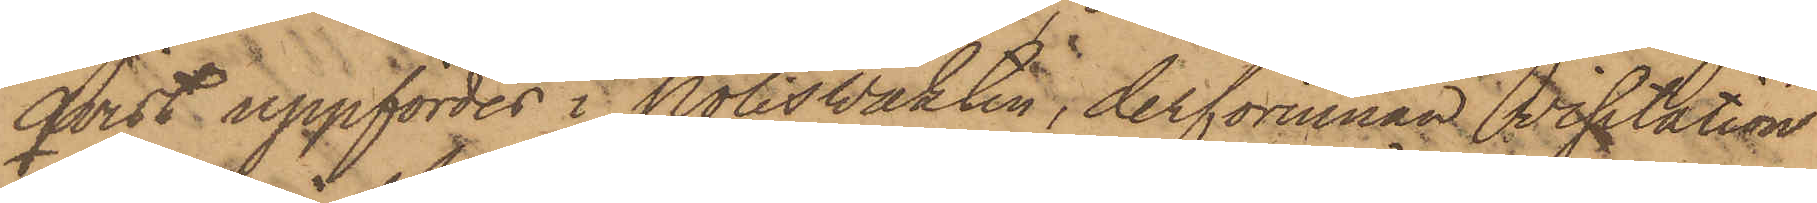qvist uppfördes i Poliswakten, derförinnan visitation
